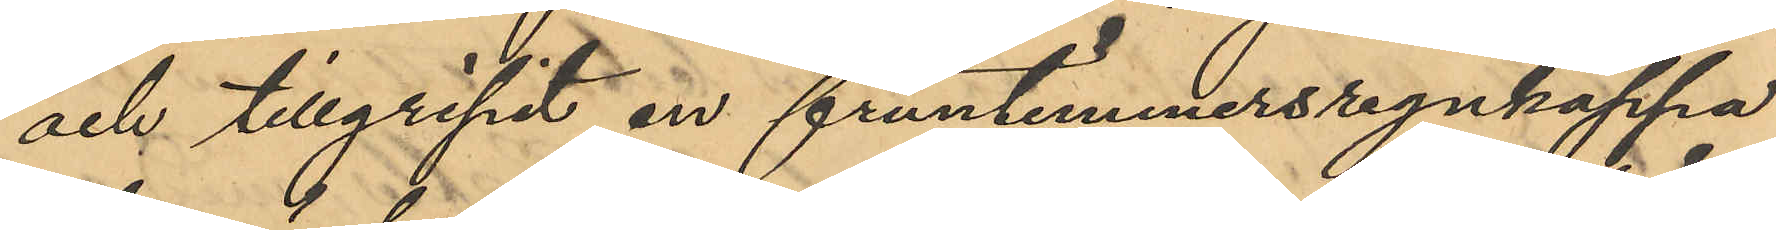och tillgripit en fruntimmersregnkappa
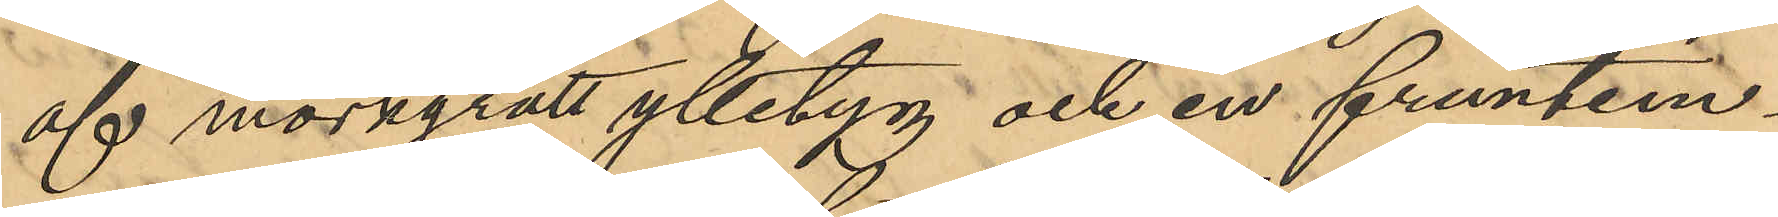af mörkgrått ylletyg och en fruntim¬
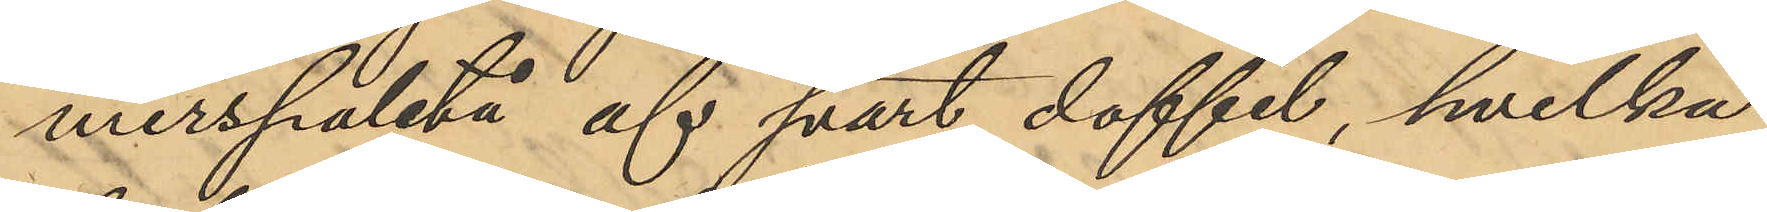merspaletå af svart doffel, hvilka
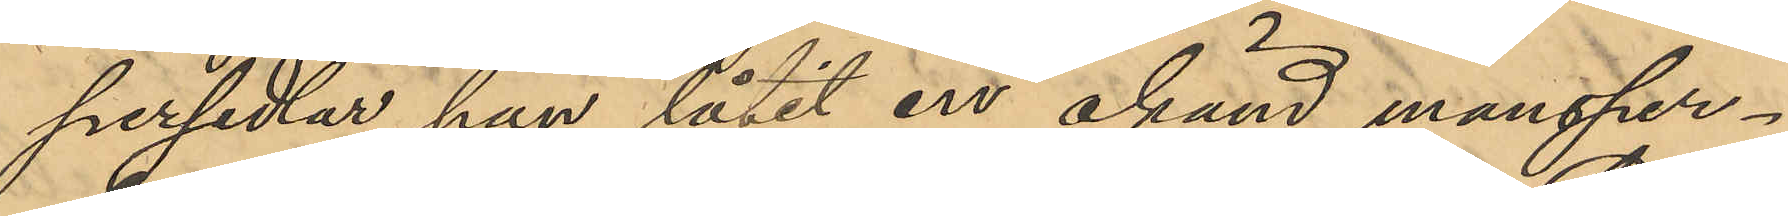persedlar han låtit en okänd mansper¬
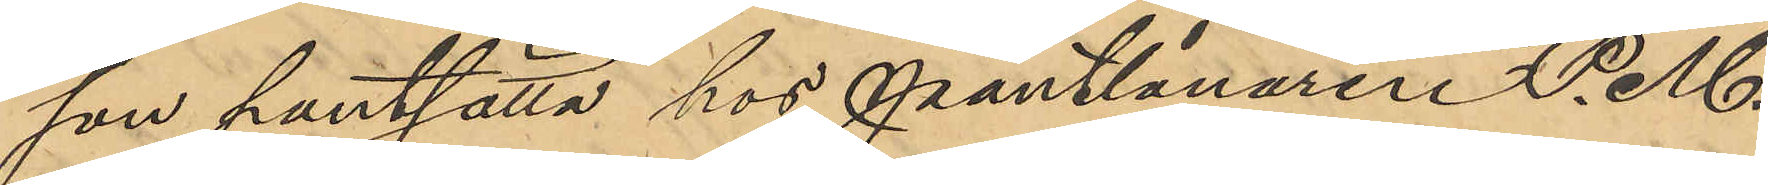son pantsätta hos Pantlånaren P. M.
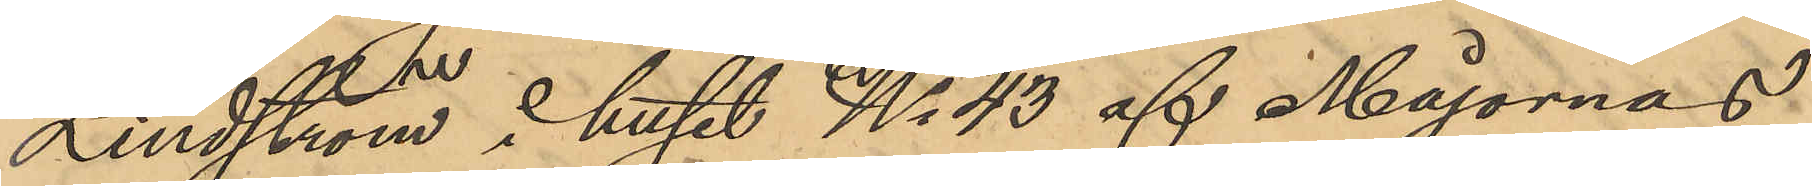Lindström i huset No 43 af Majornas
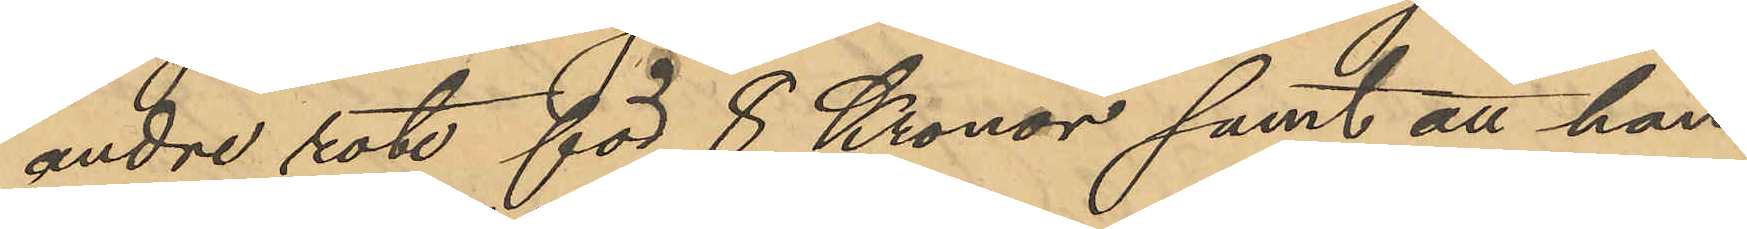andre rote för 8 Kronor samt att han
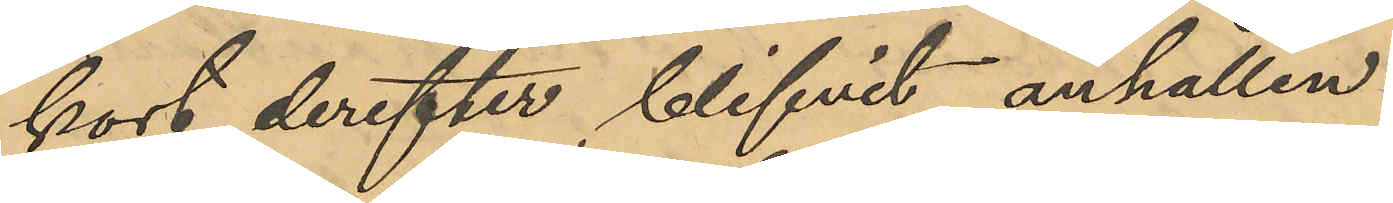kort derefter blifvit anhållen.
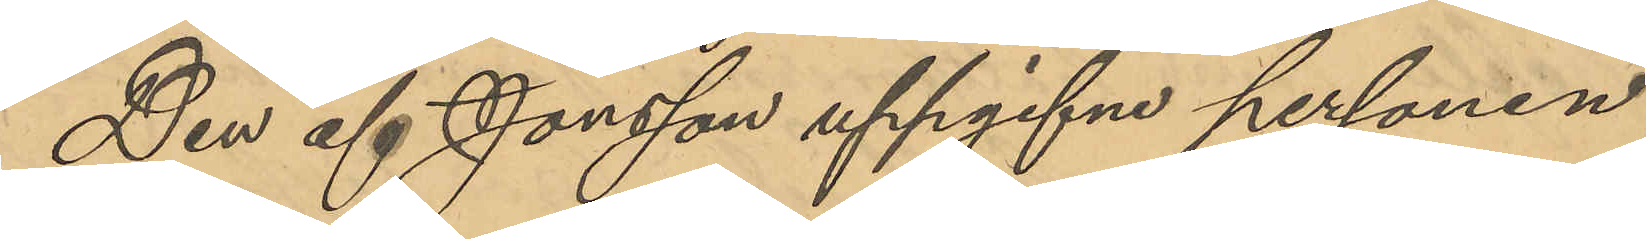Den af Jonsson uppgifne personen
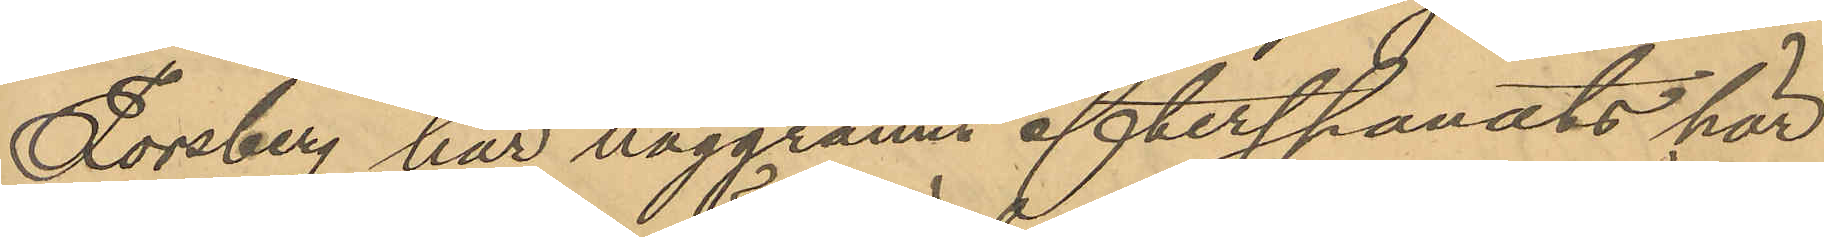Forsberg har noggrannt efterspanats här
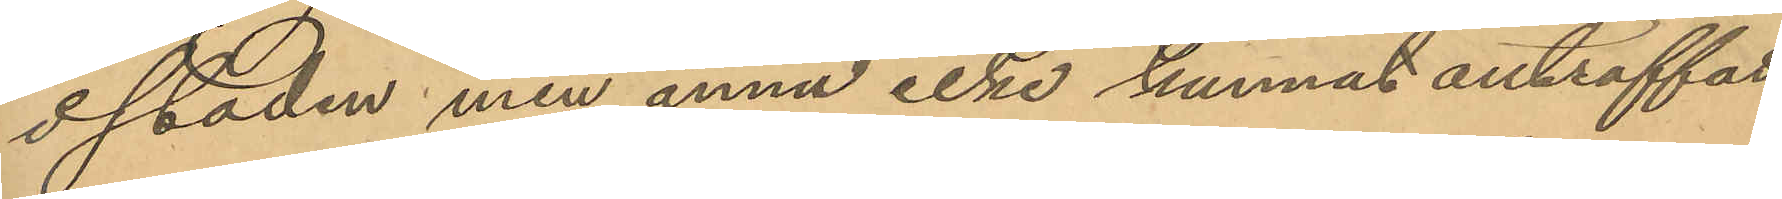i staden men ännu icke kunnat anträffas.
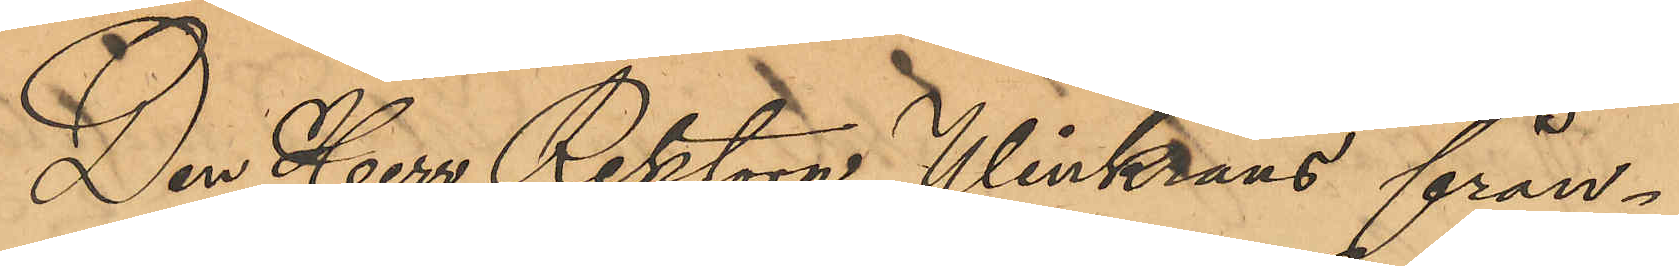Den Herr Rektorn Winkrans från¬
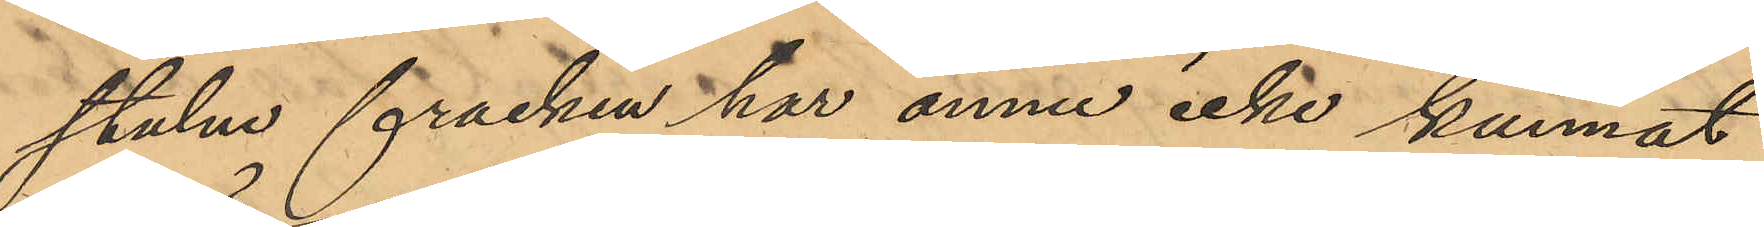stulne fracken har ännu icke kunnat
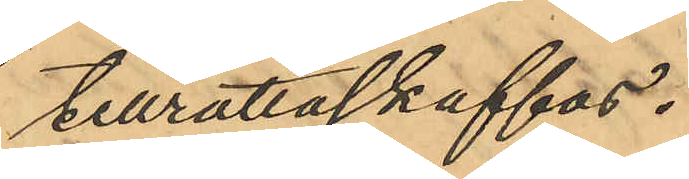tillrättaskaffas.
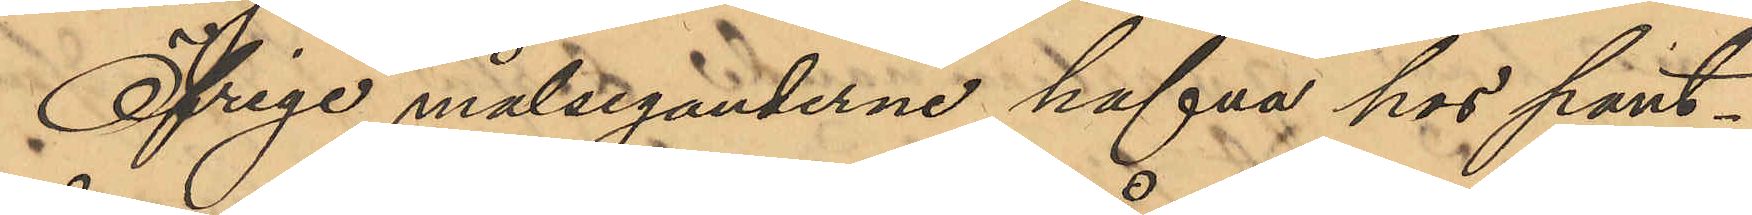Öfrige målseganderne hafva hos pant¬
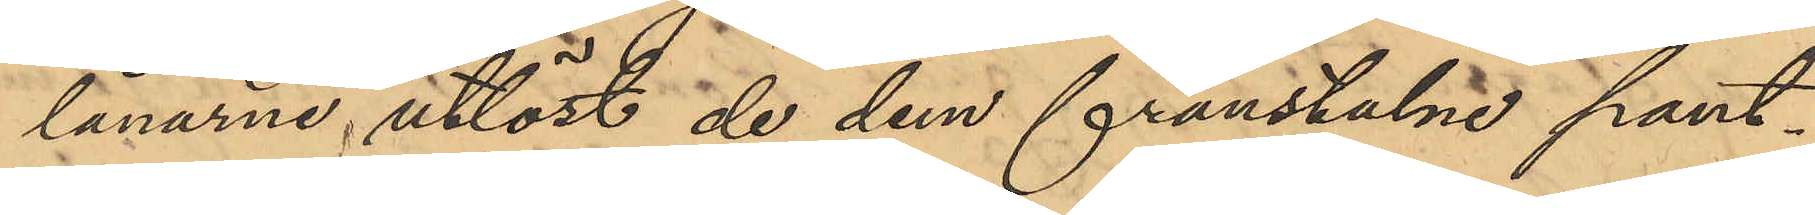lånarne utlöst de dem frånstulne pant¬
